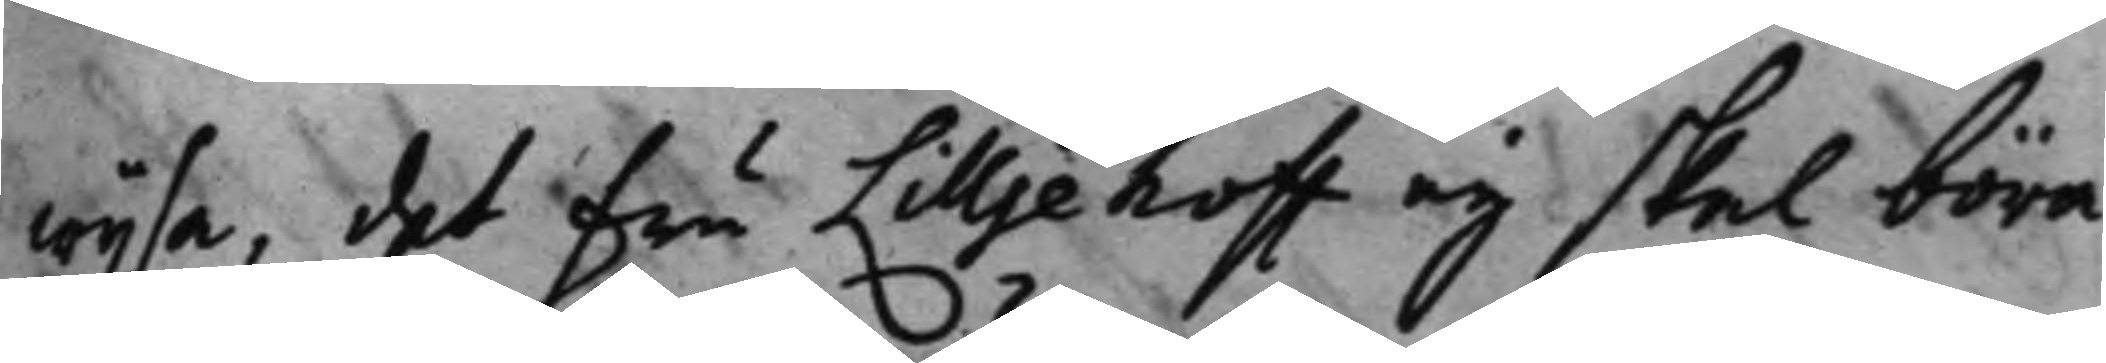wijsa, det Fru Lilljehoff eij skal böra
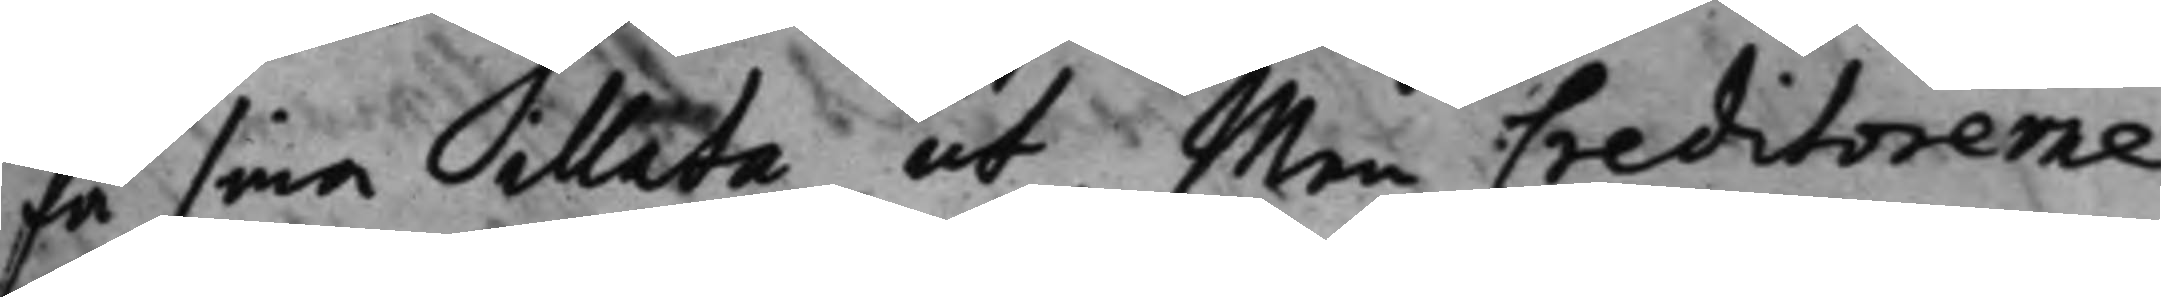få sina illata ut, Men Creditorerne
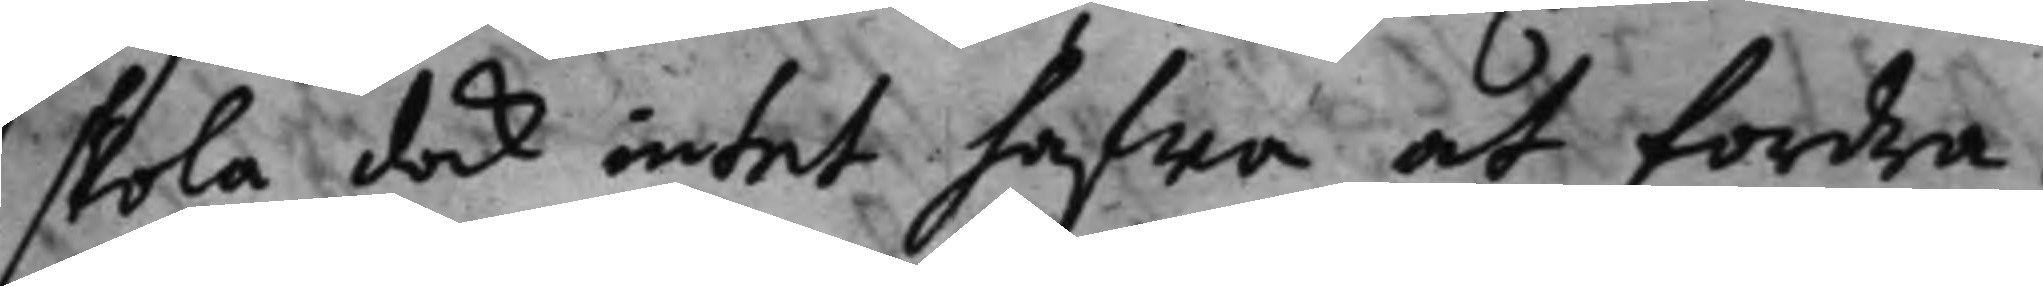skola dock intet hafwa at fordra.
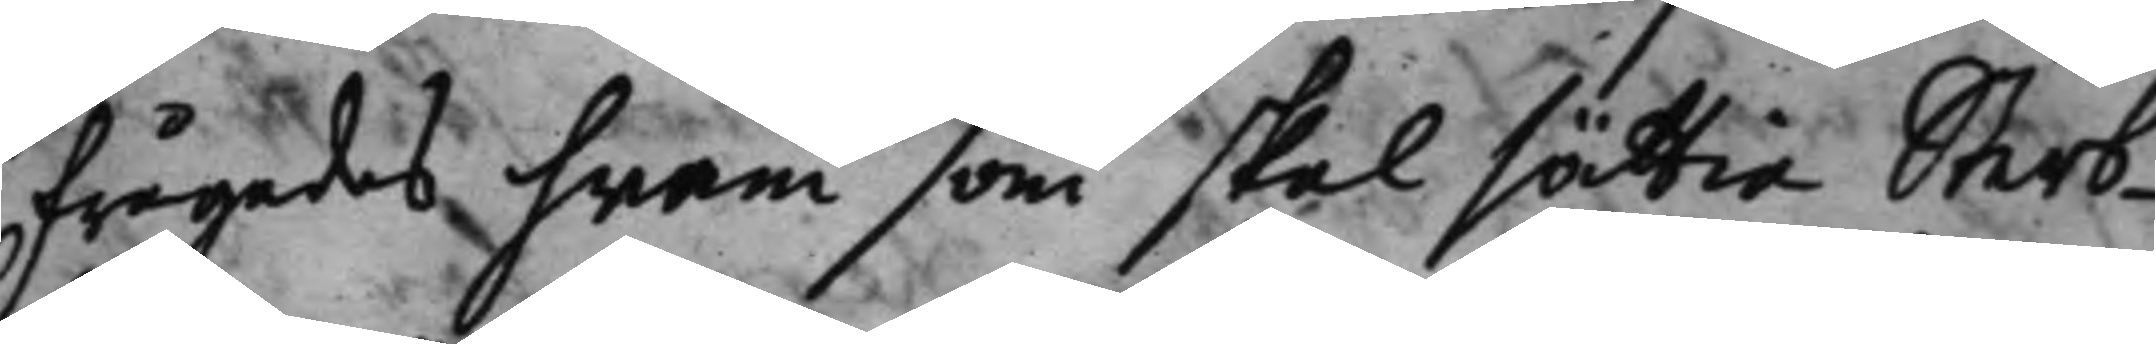frågades hwem som skal sättia Sterb¬
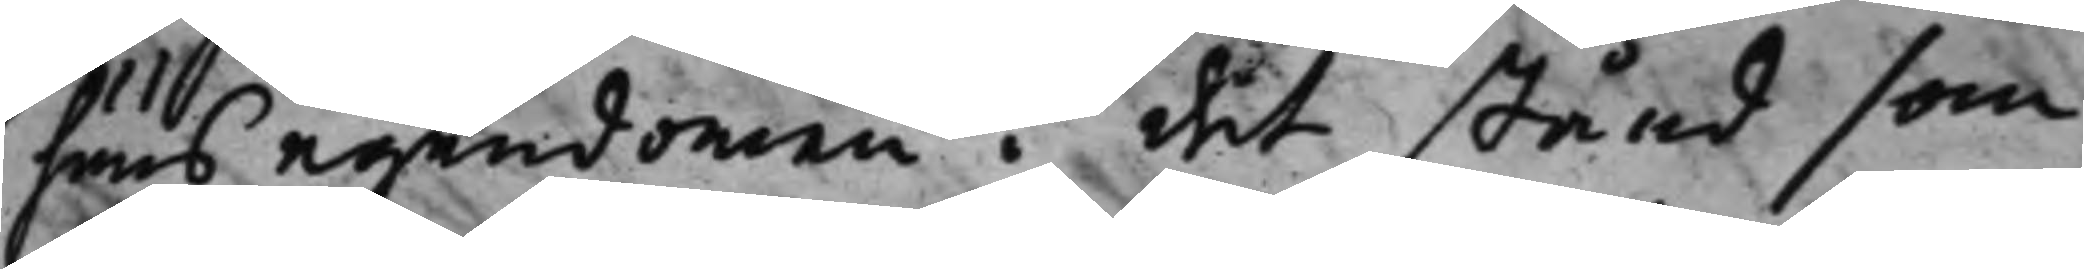huus egendomen det stånd som
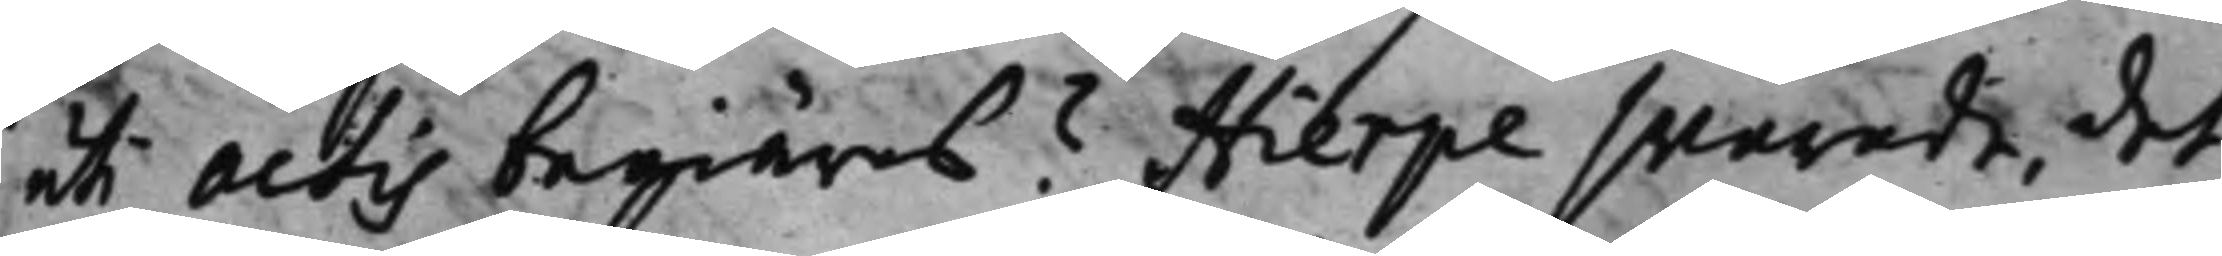uti actis begiäres? Hierpe swarade, det
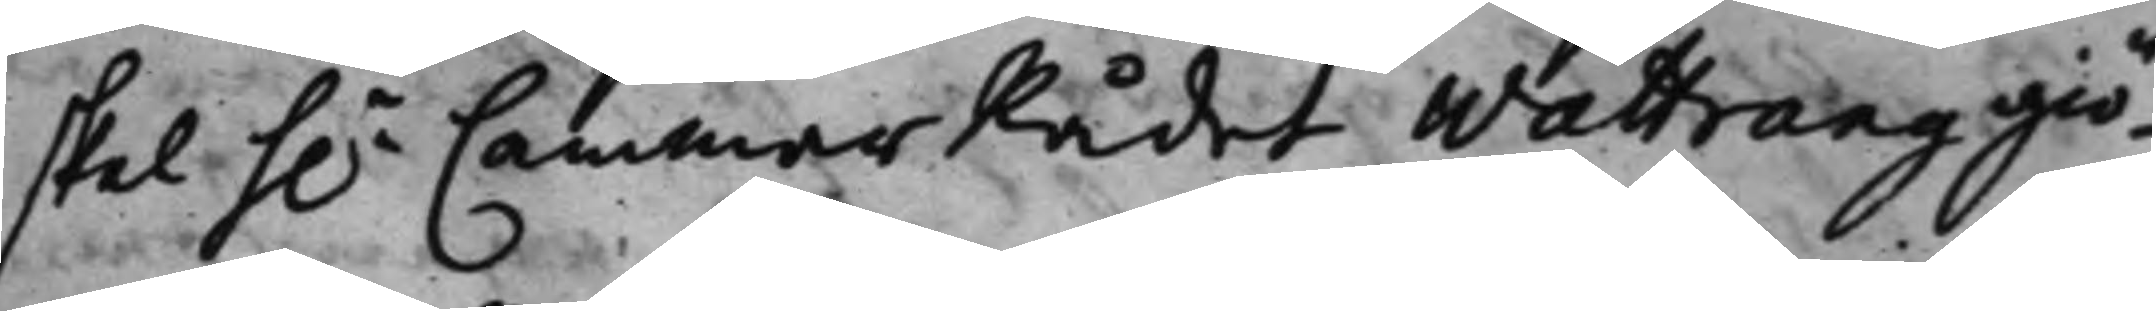skal h.r CammarRådet Wattrang giö¬ 
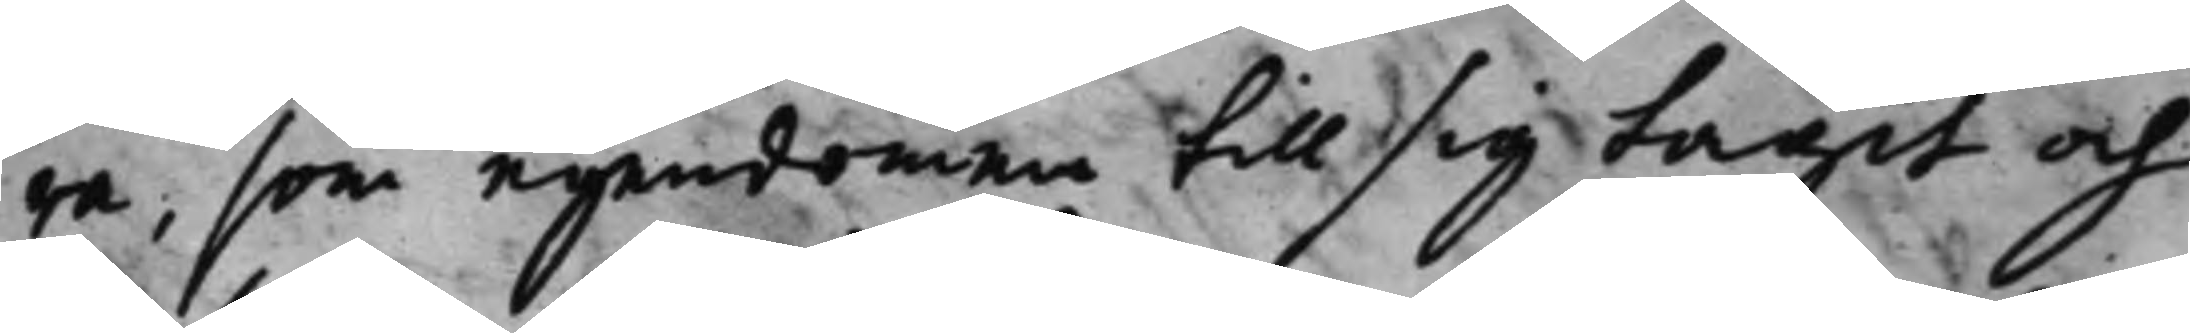ra, som egendomen till sig tagit och
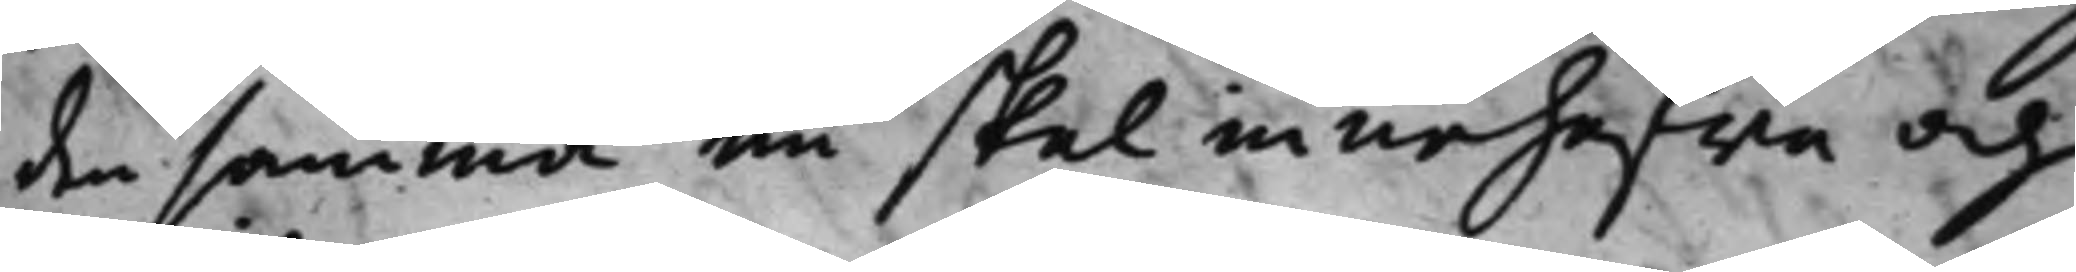den samma nu skal innehafwa och
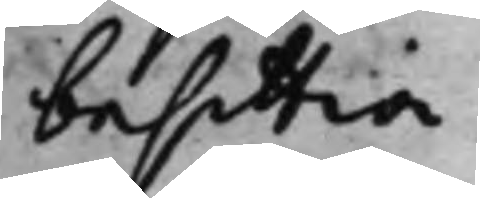besittia.
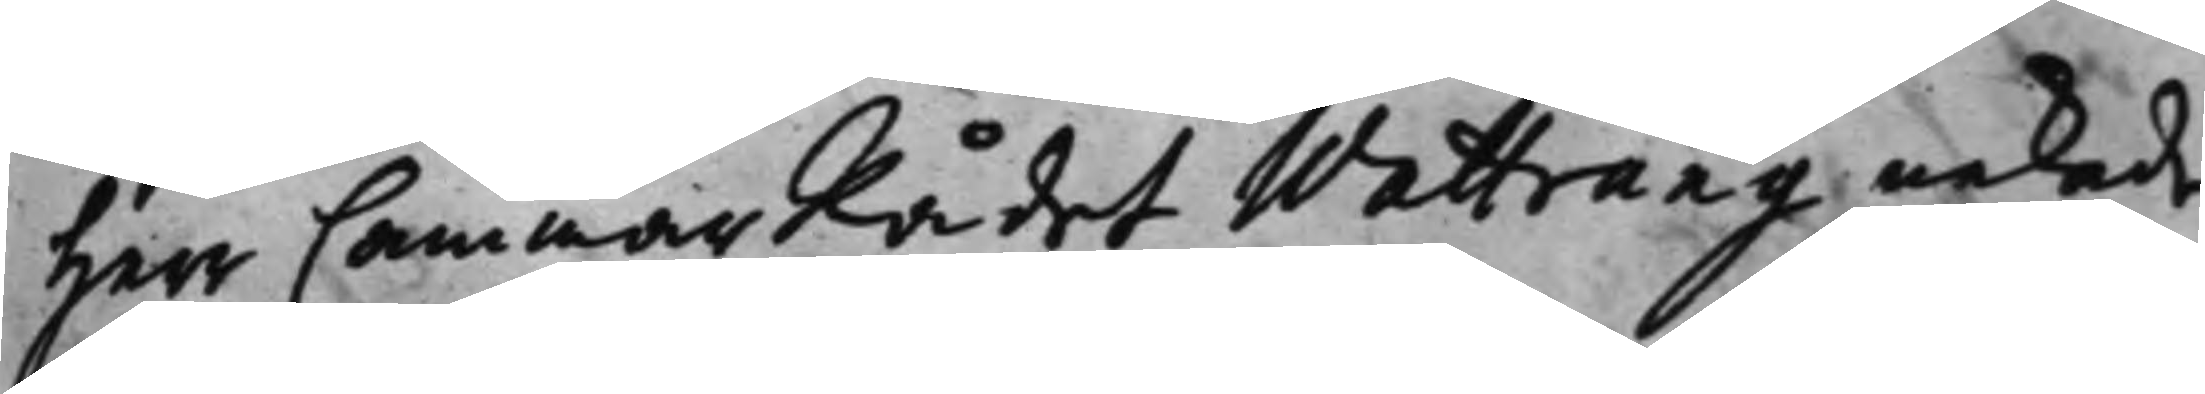Herr CammarRådet Wattrang nekade
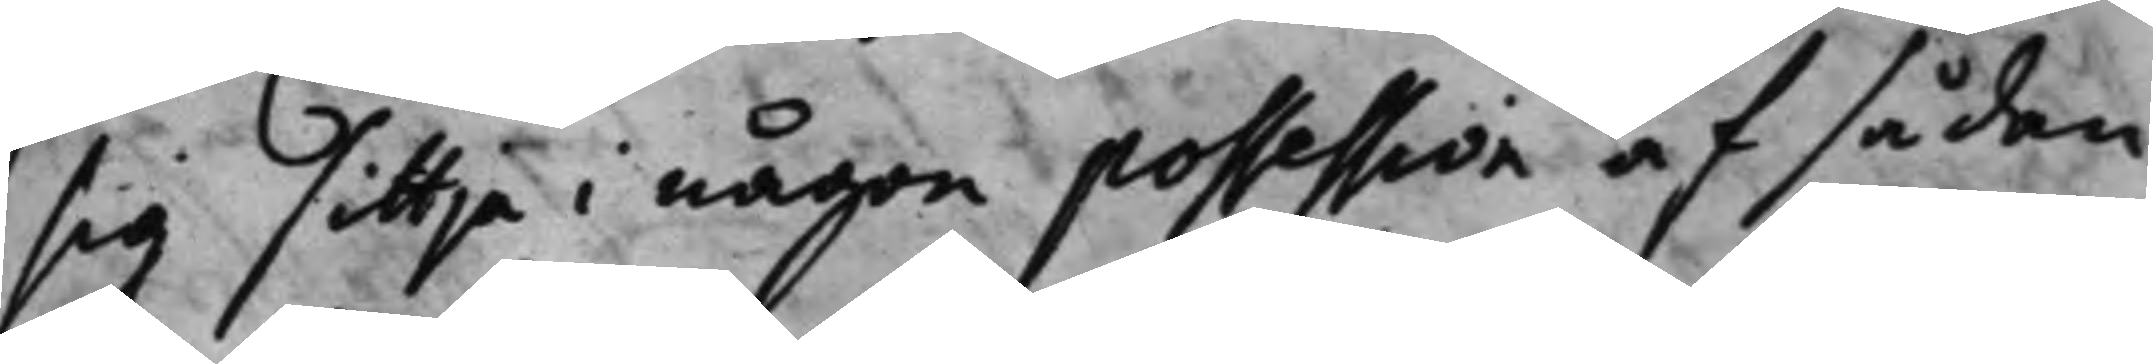sig sittja i någon possession af sådan
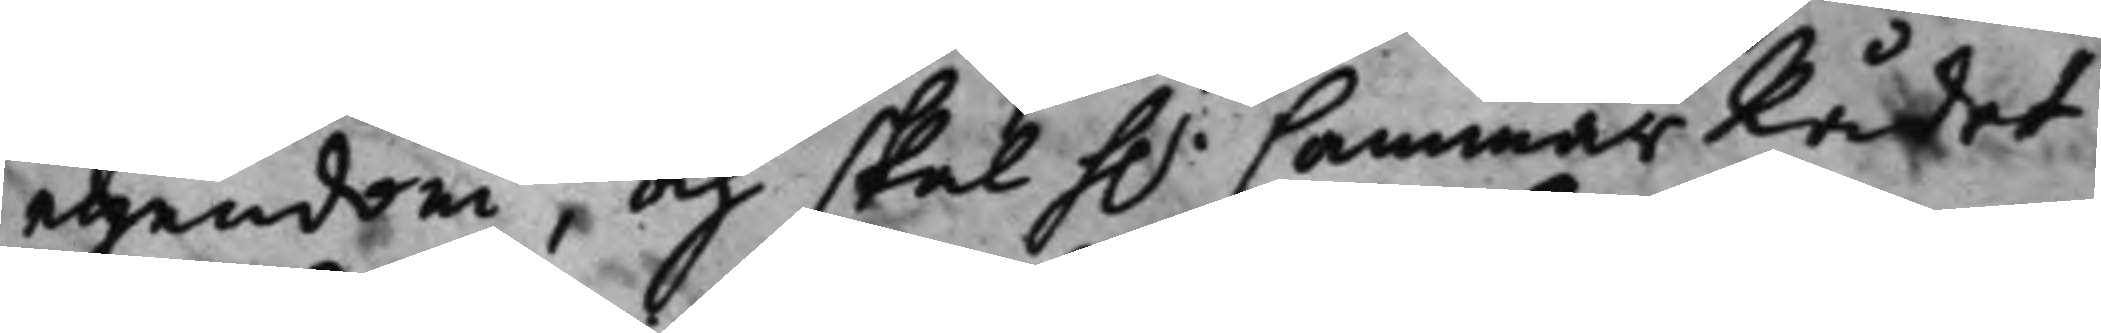egendom, och skall h.r CammarRådet 
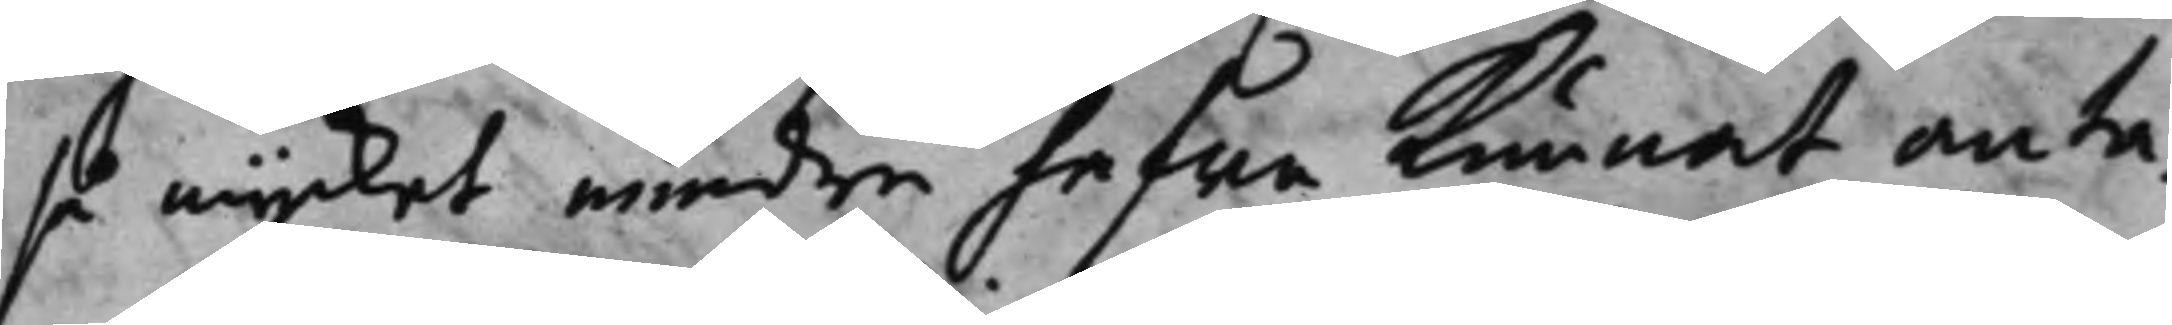så mycket meden hafwa kunnat anta¬
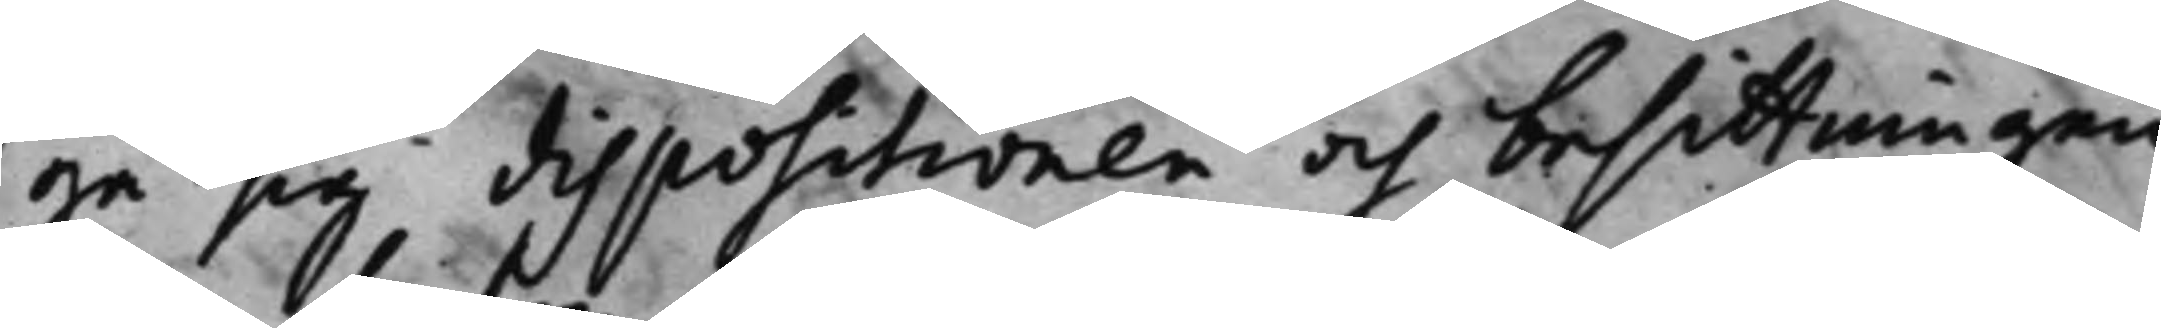ga sig dispositionen och besittningen
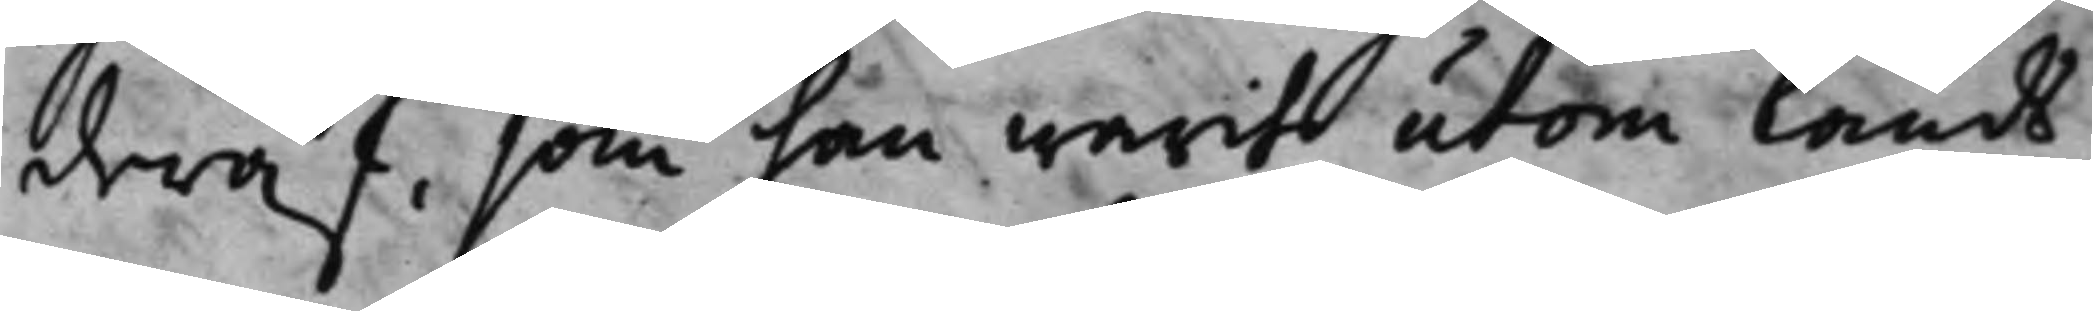deraf, som han warit utom lands.
